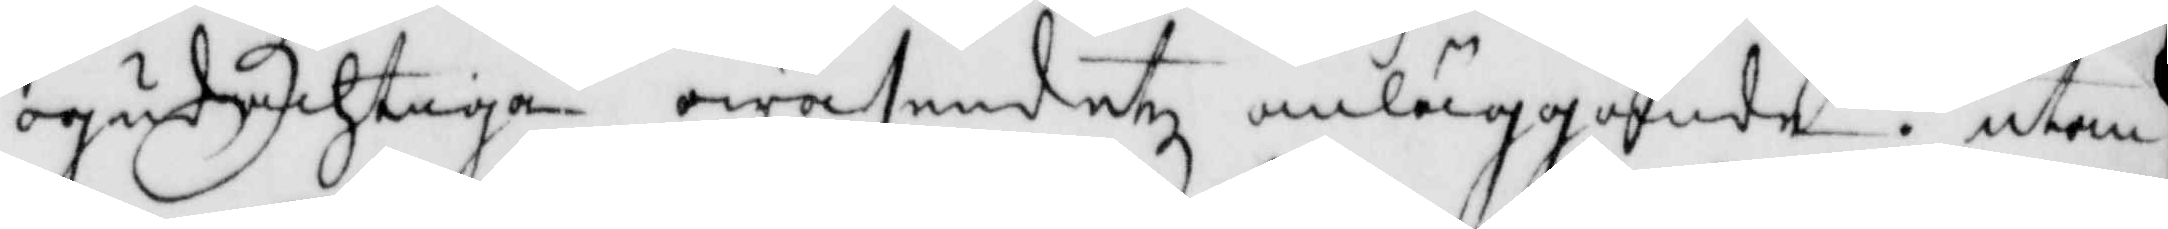ogudachtiga wäsendetz anläggande, utan
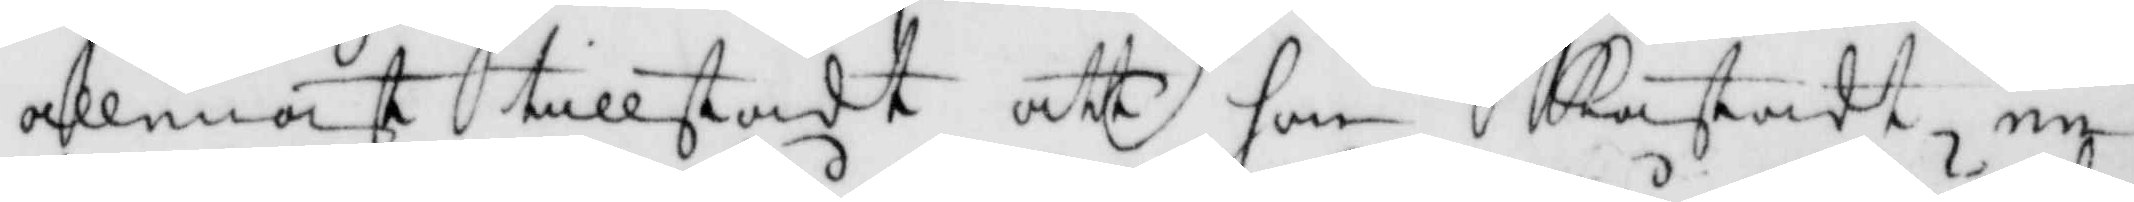allenast tillstådt att hon kastadt en
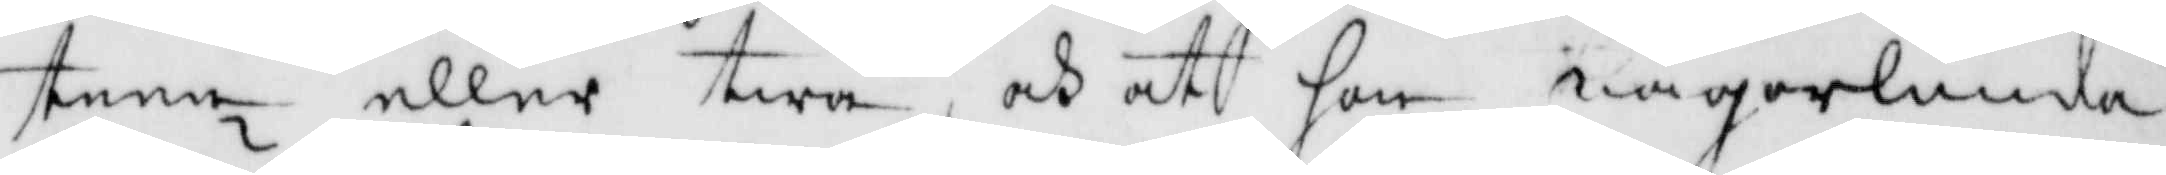steen eller twå, och at hon någorlunda
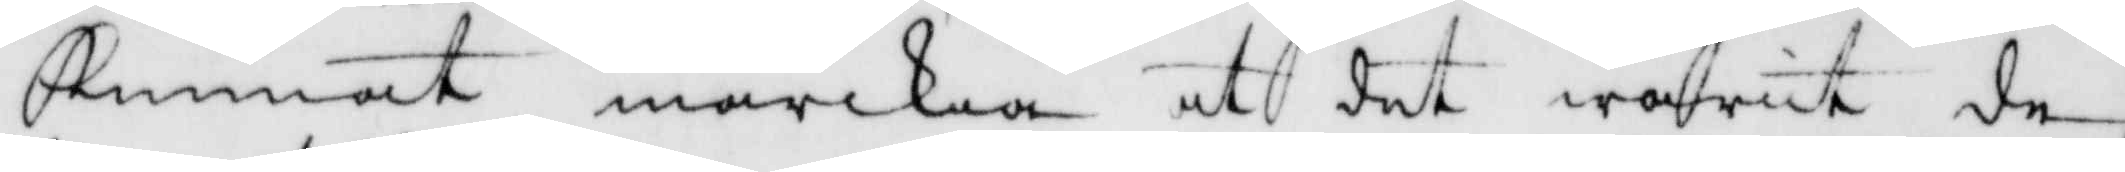Kunnat märkia at det warit de
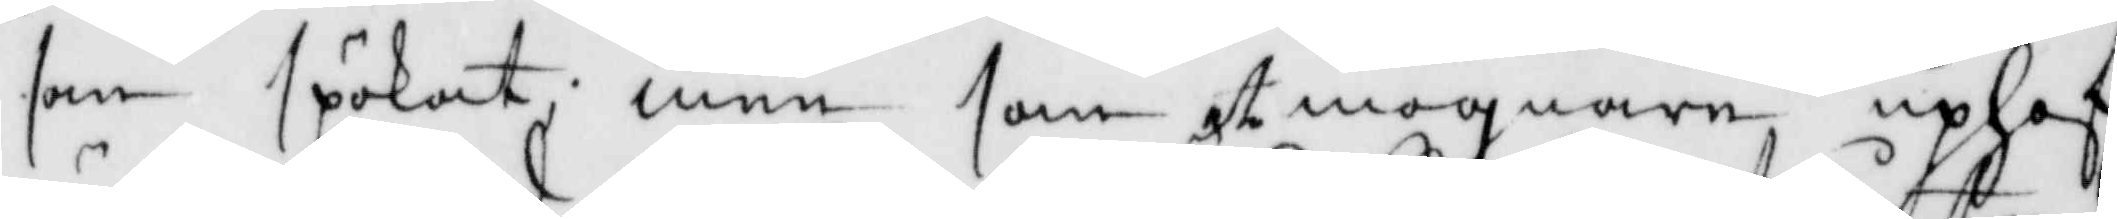som späkat; men som et mognare uphof
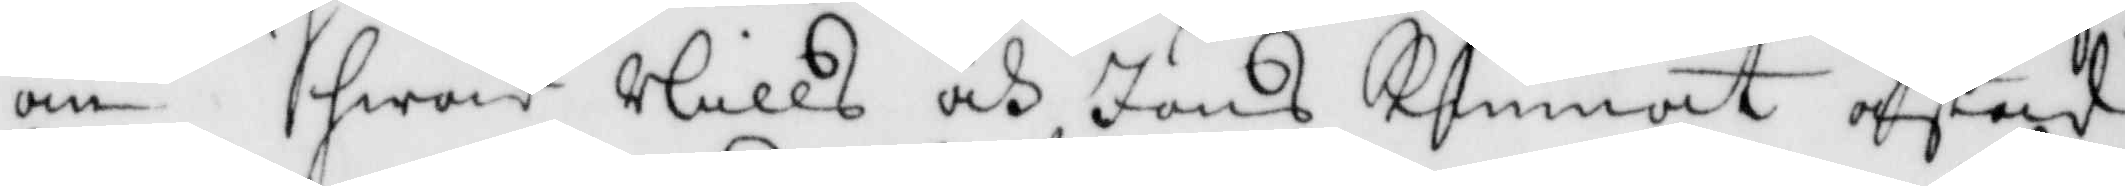än hwad Nills och Jöns Kunnat åstad¬
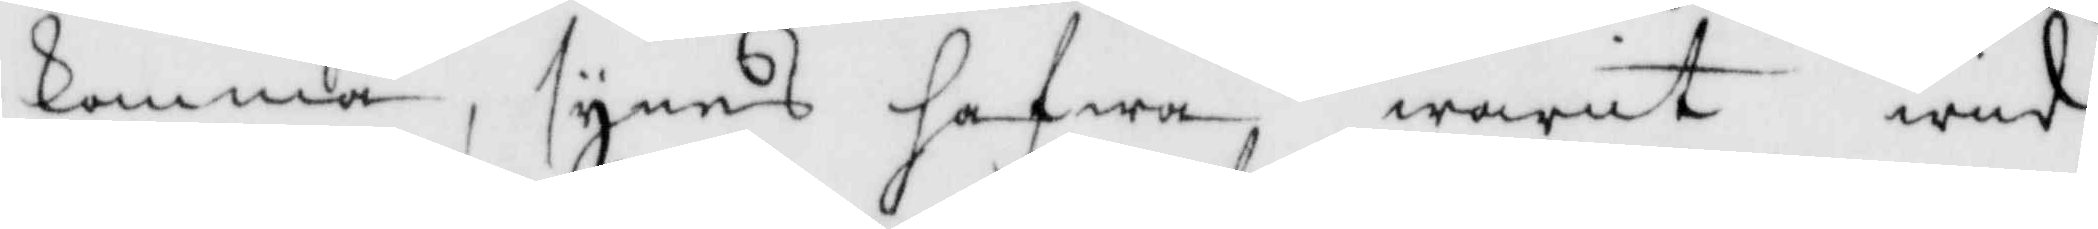komma, synes hafwa wait wid
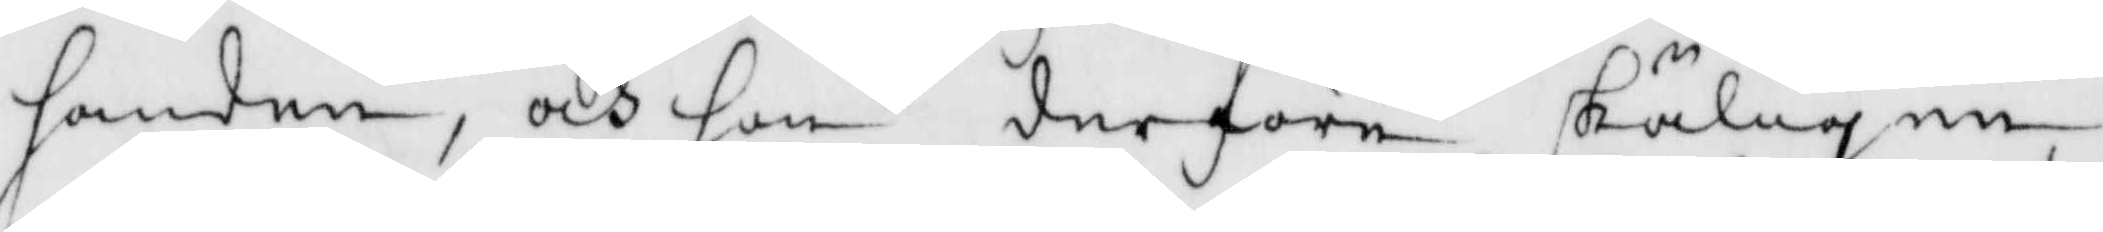handen, och hon derföre skäligen
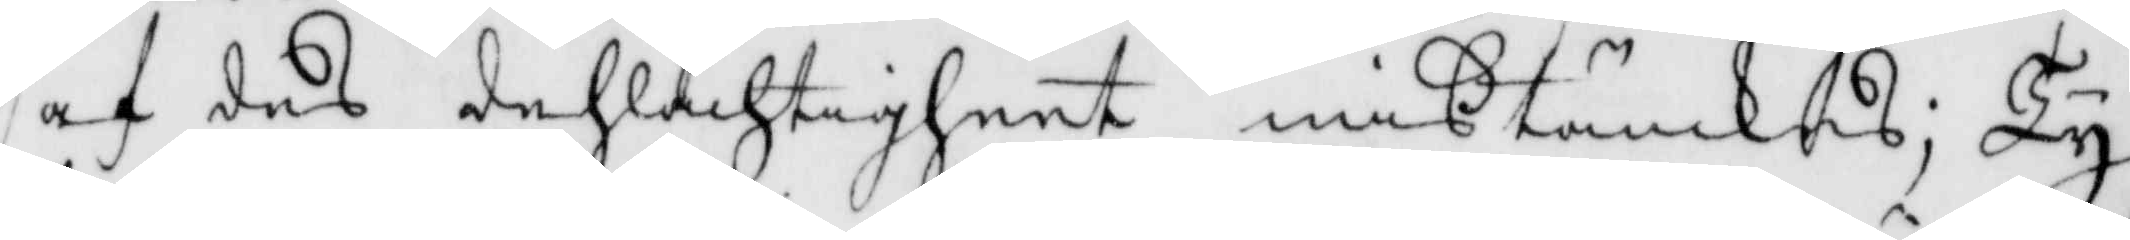af des dehlachtigheet mißtänkes; Ty
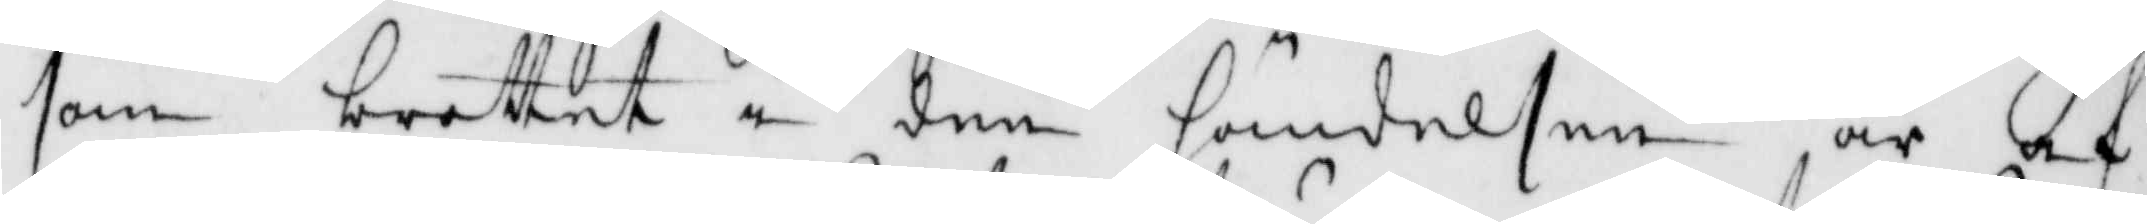som brottet i den händelsen är af
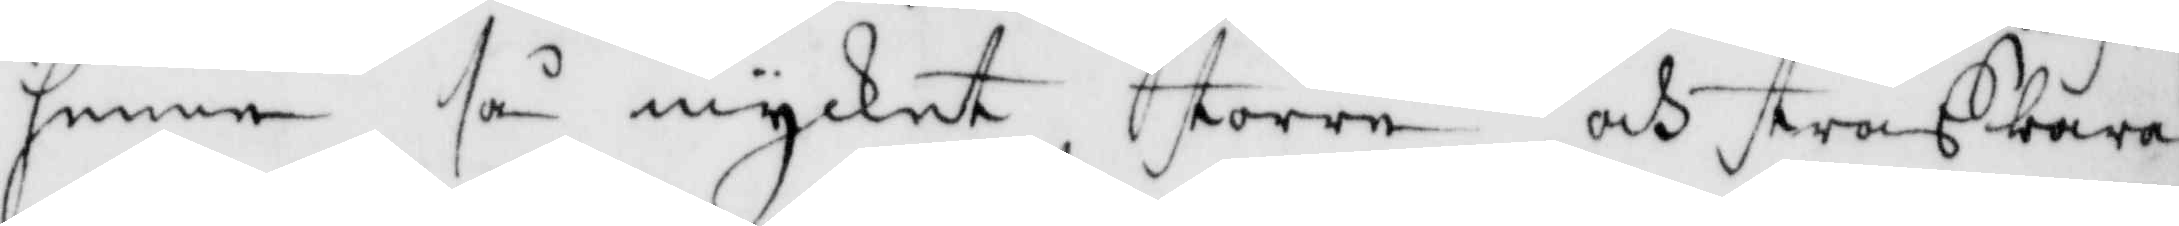henne så mycket större och straffbara¬
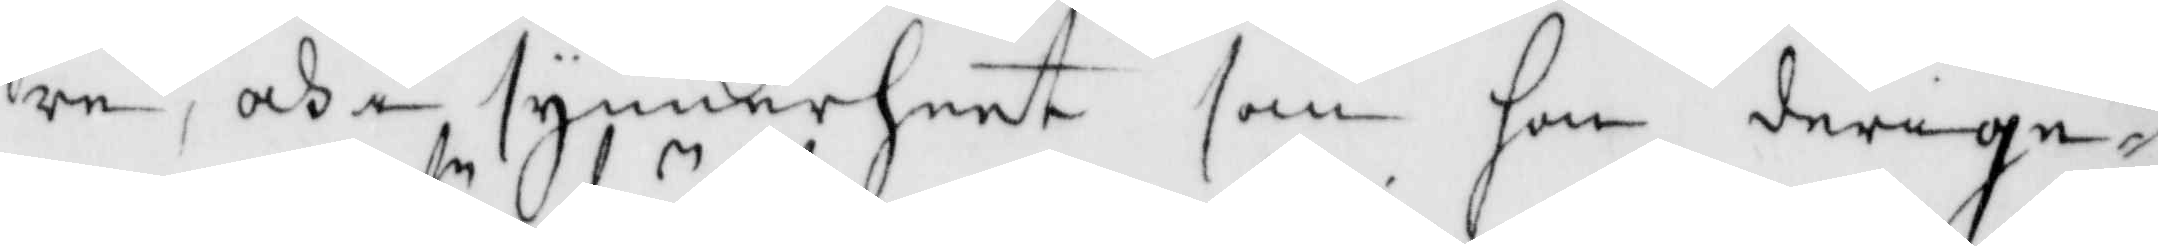re, och i synnerheet som hon derige¬
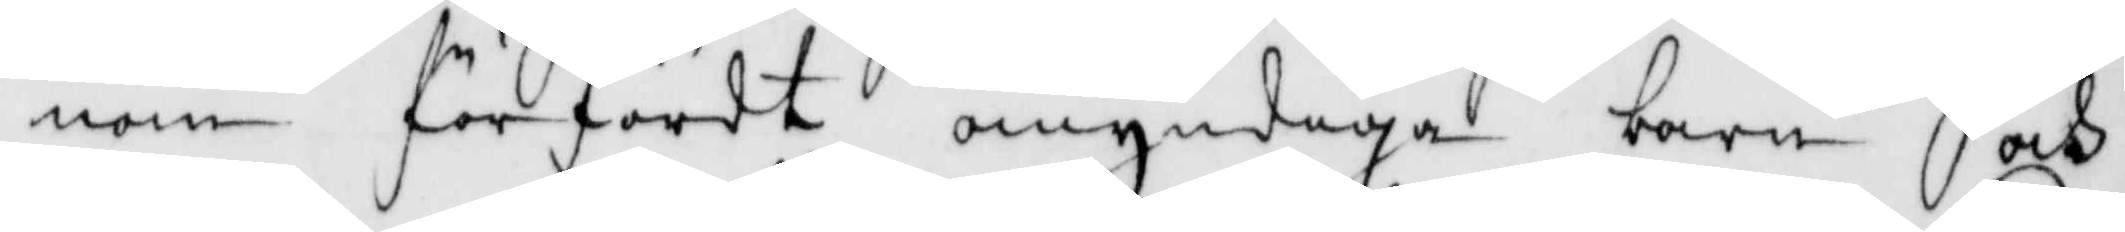nom förfördt omyndiga barn och
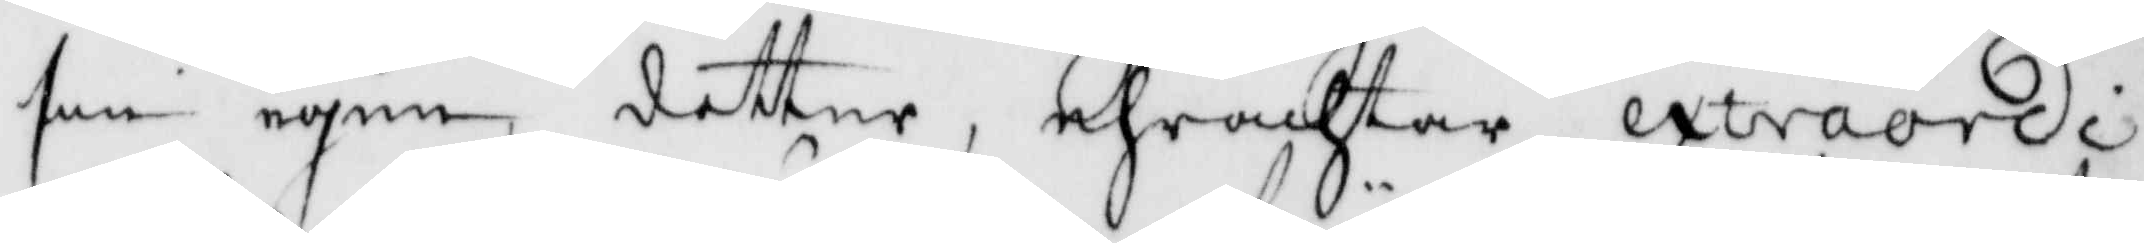sin egen dotter, ehrachtar extraordi¬
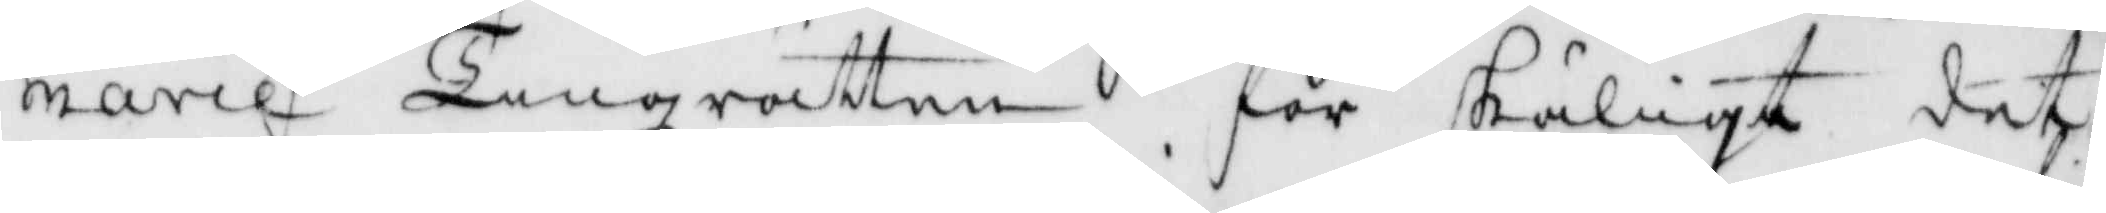narie Tingsrätten för skäligt det
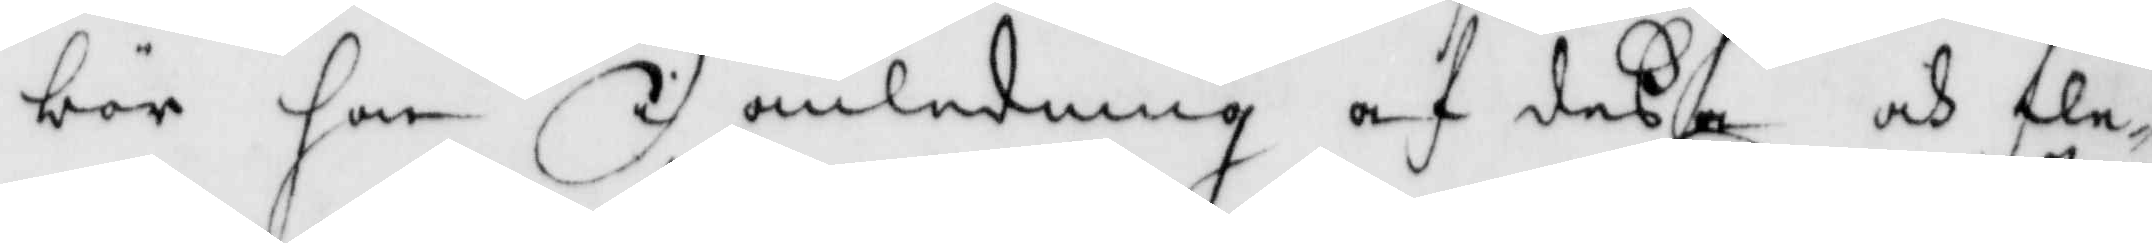bör hon i anledning af deßa och fle¬
